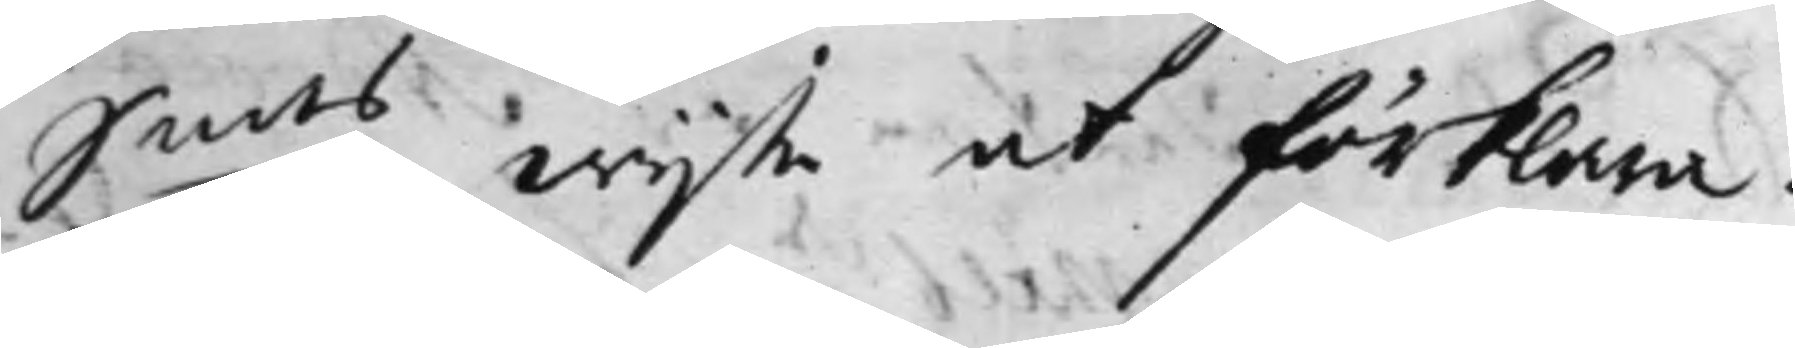S:mts wijte at förklara.
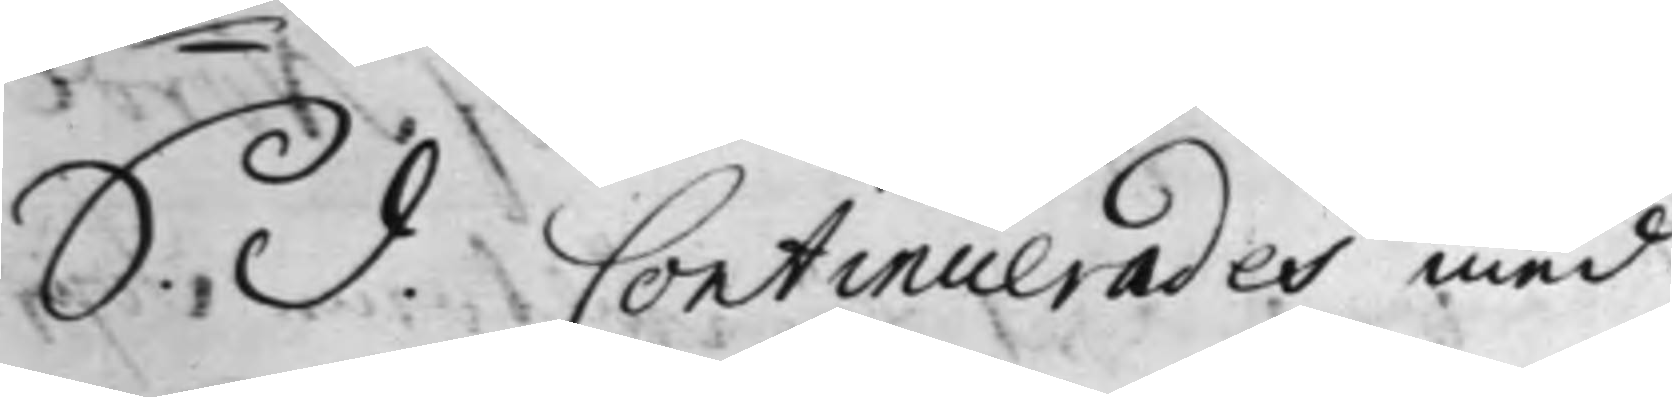S. d. Continuerades med
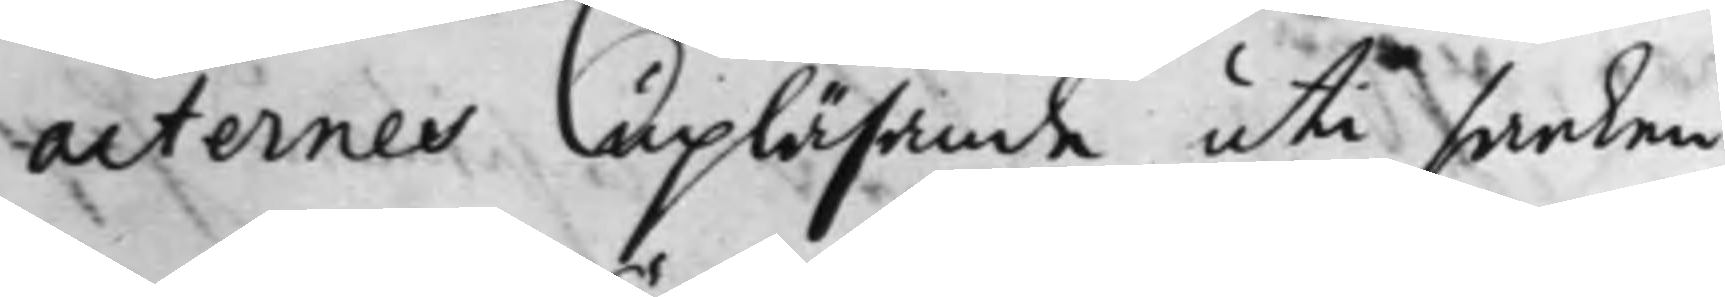acternes upläsande uti saaken
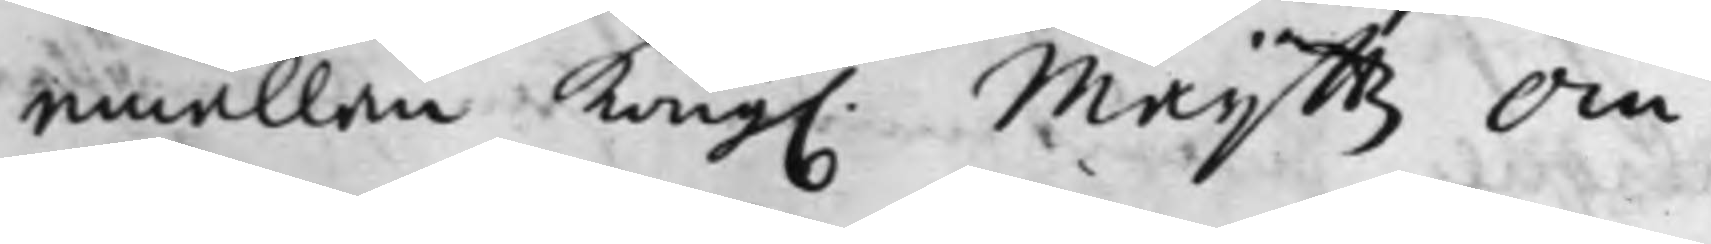emällan Kong. Maij.ttz Om¬
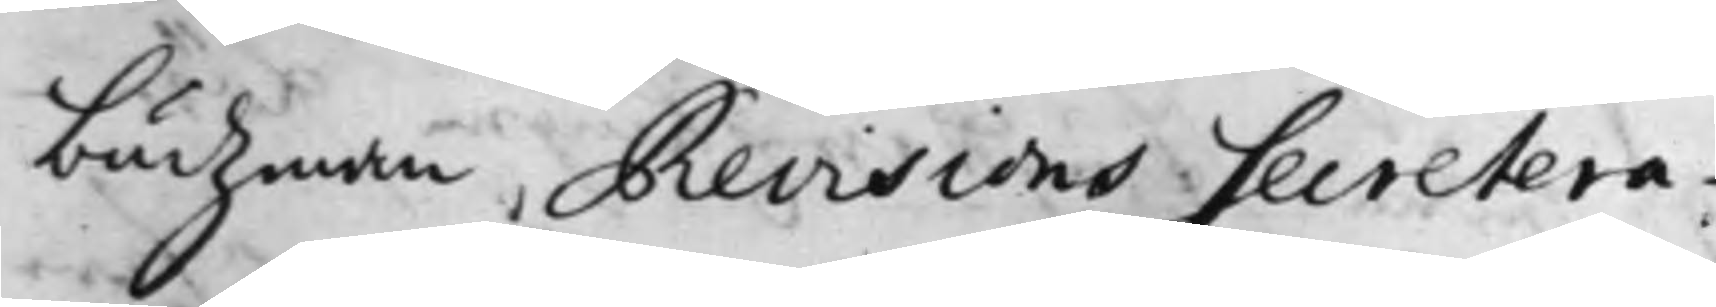budzman Revisions Secretera¬
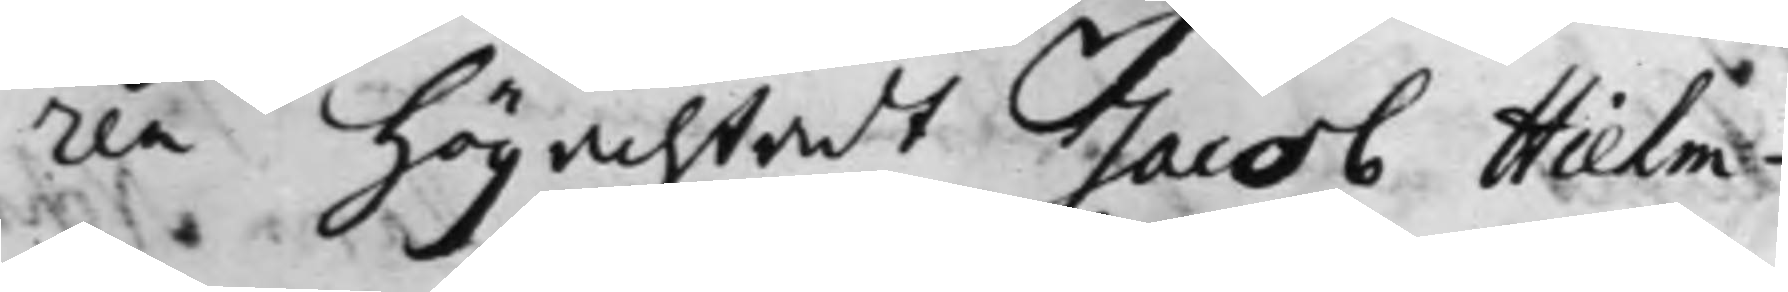ren högachtadt Jacob Hielm¬
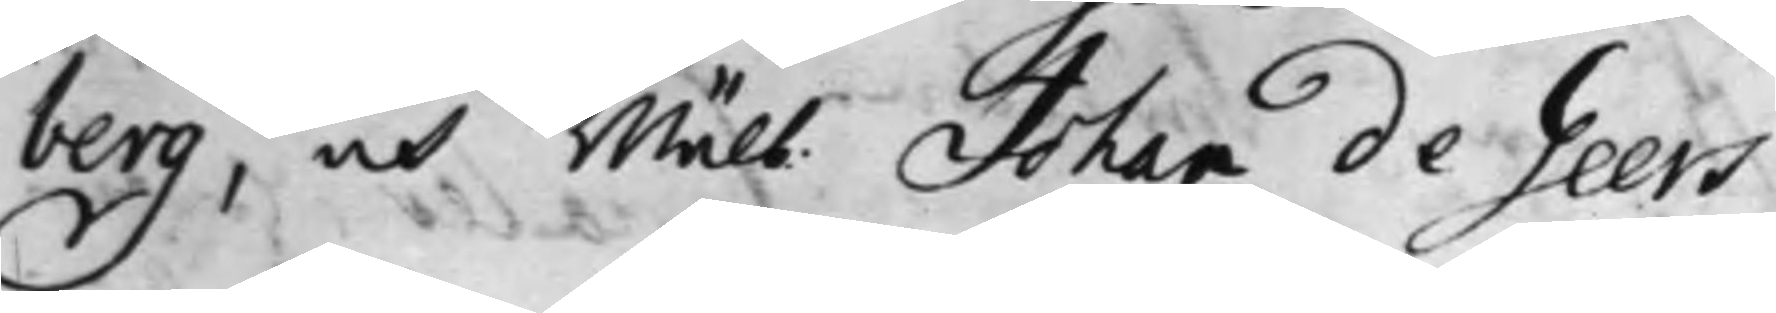berg, och Wälb. Johan de Geers
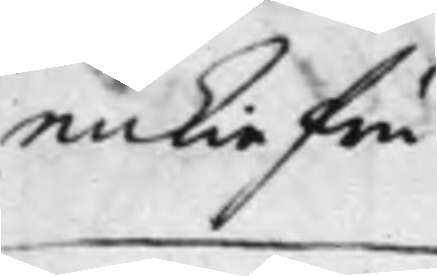enkiefru
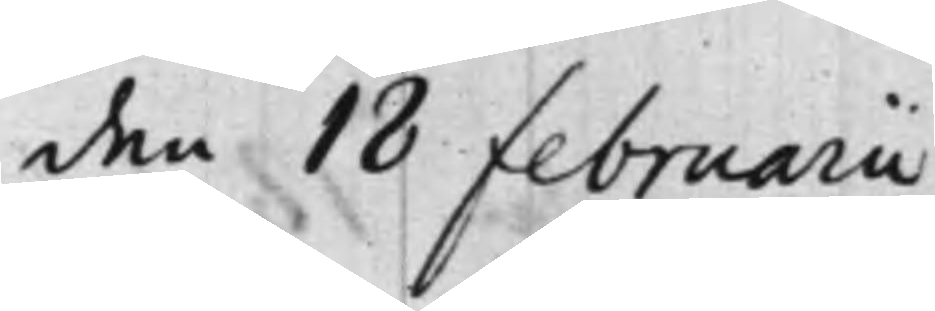den 18 Februarii
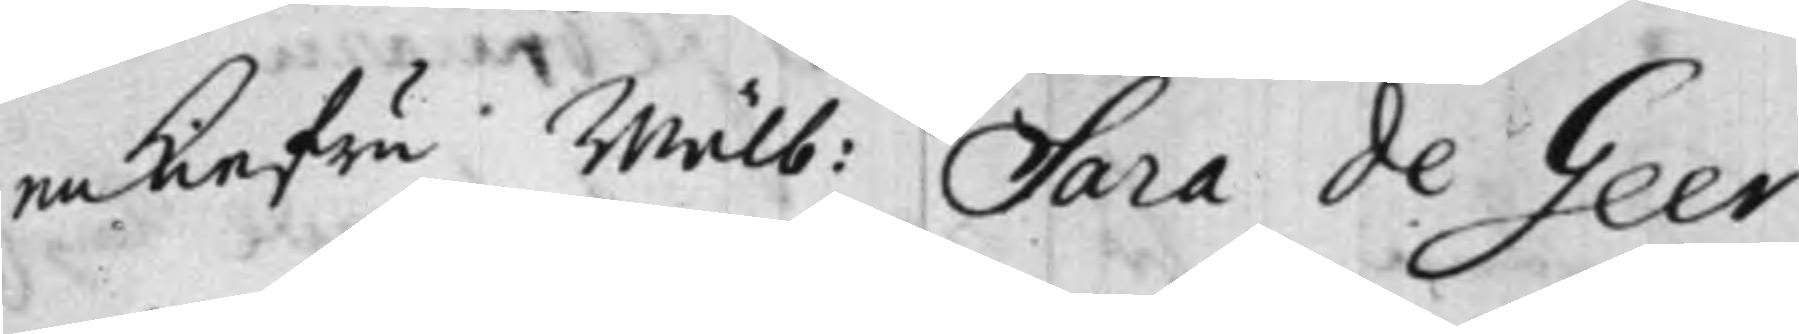enkiefru Wälb: Sara de Geer
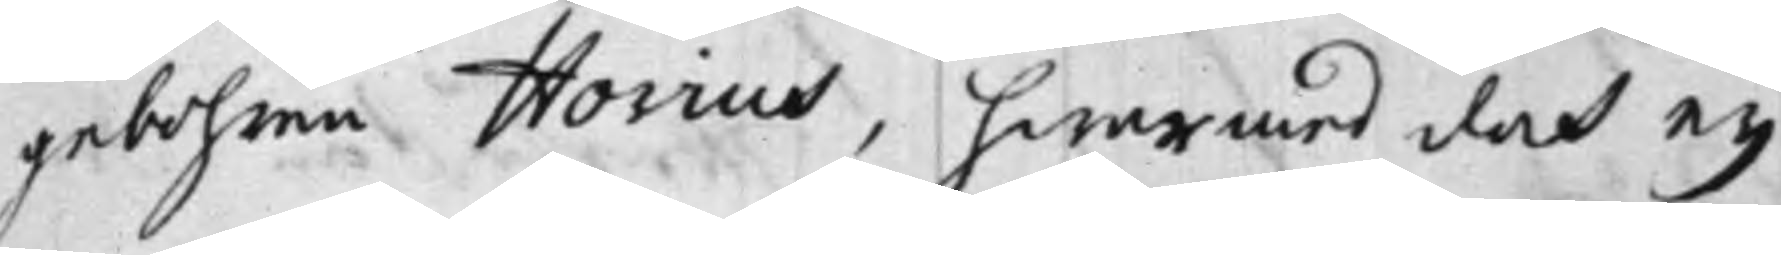gebohren Hovius, hwarmed doch ey
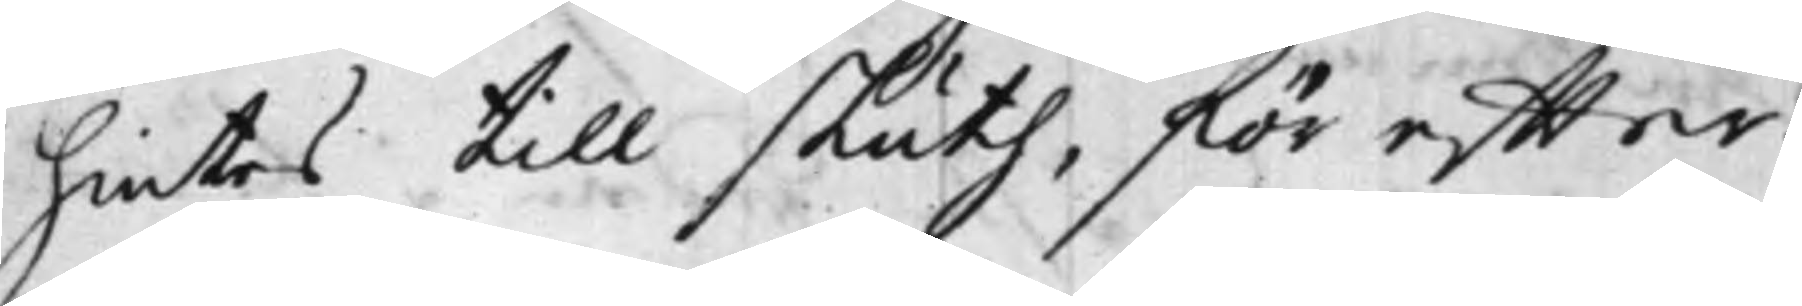hintes till sluth, för effter¬
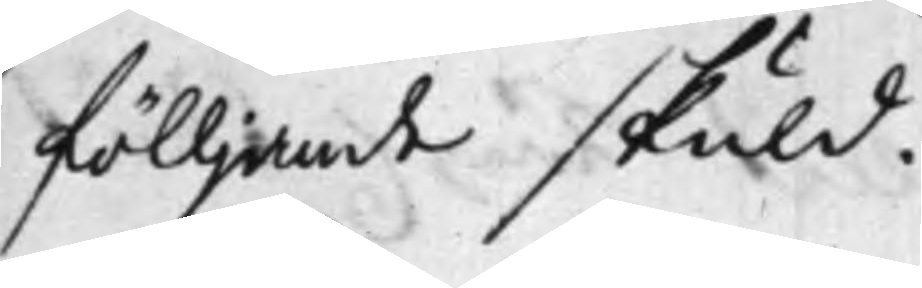fölljande skuld.
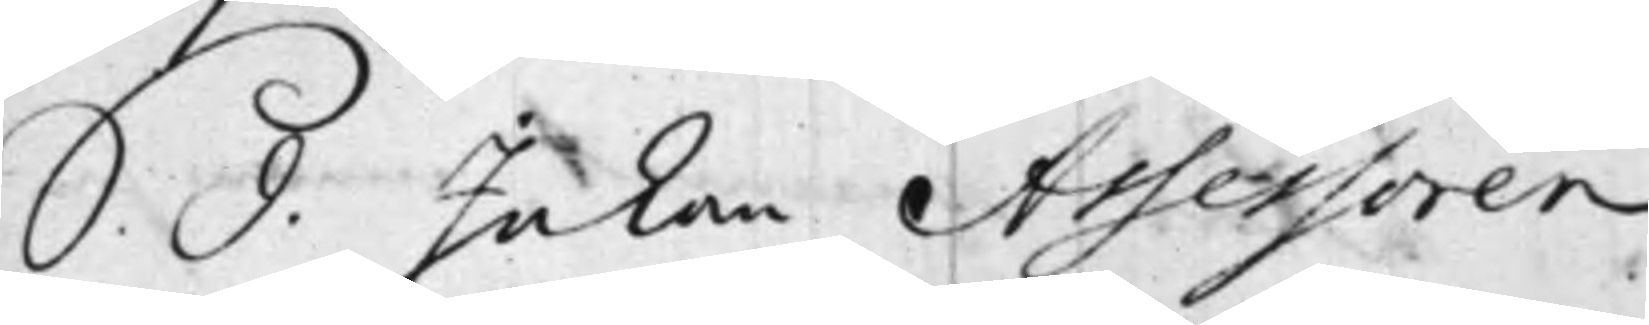S. d. Inkom Assessoren
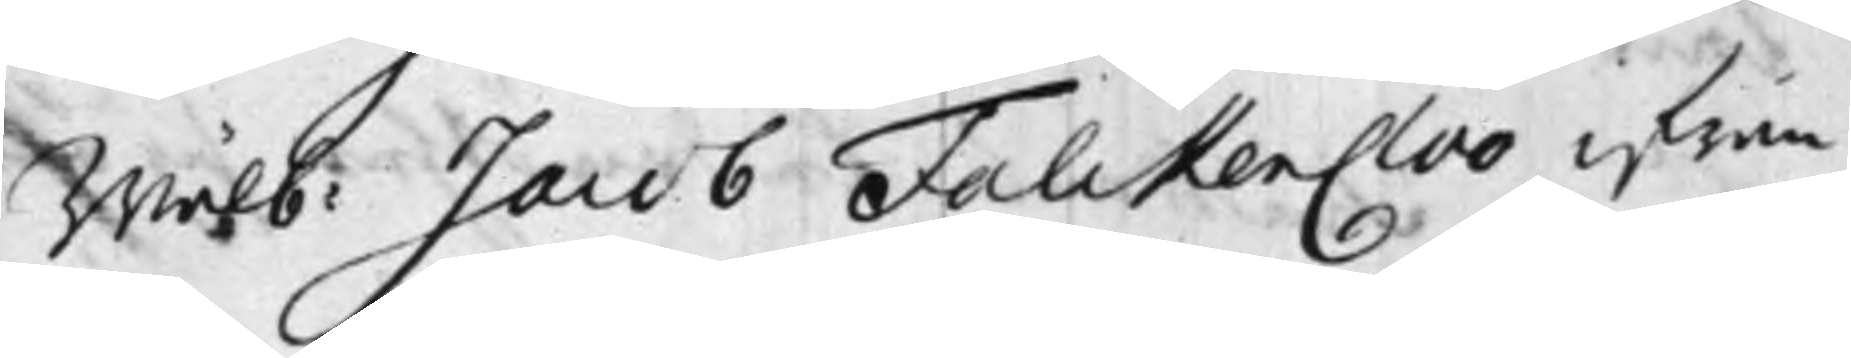Wälb: Jacob FalckenCloo ifrån
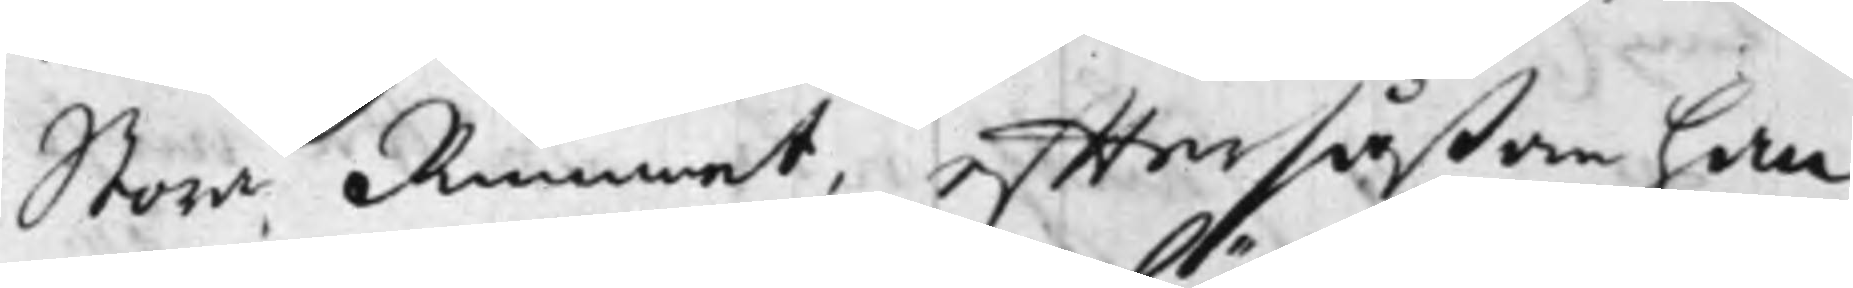Stora Rummet, efftersåßom han
